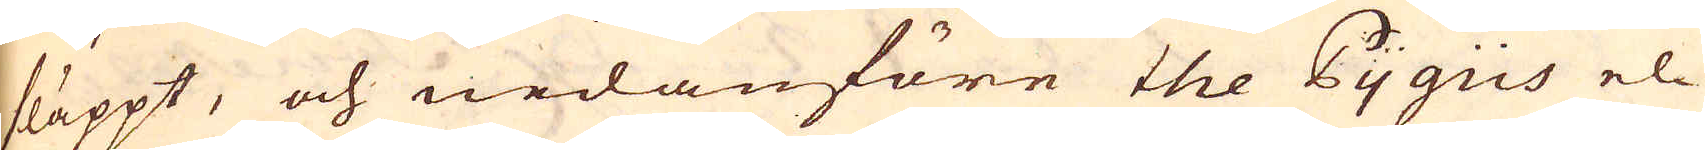släppt, och nedanföre the Pygus el-
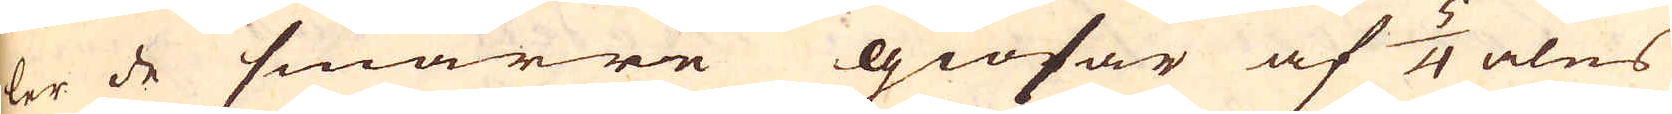ler de smärre giösar af 5/4 alns
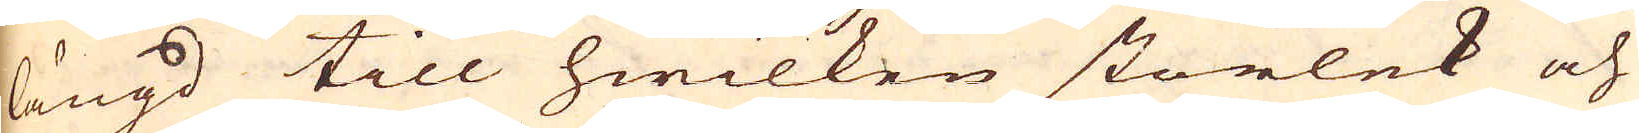längd till hwilken storlek och
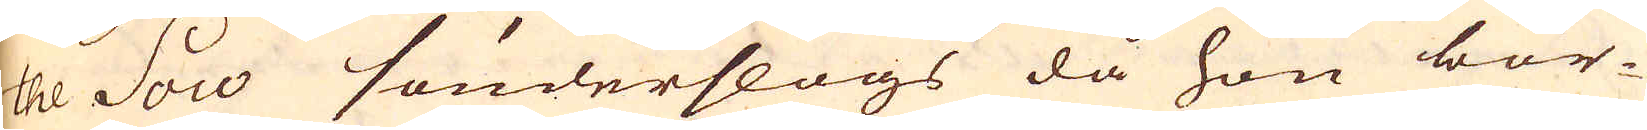tel Sow sönderslogs då hon bör-
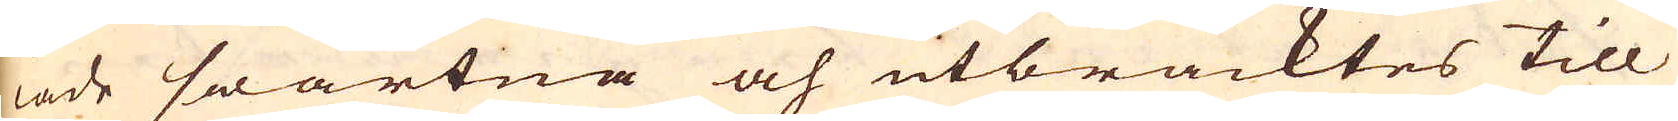iade swartna och utbracktes till
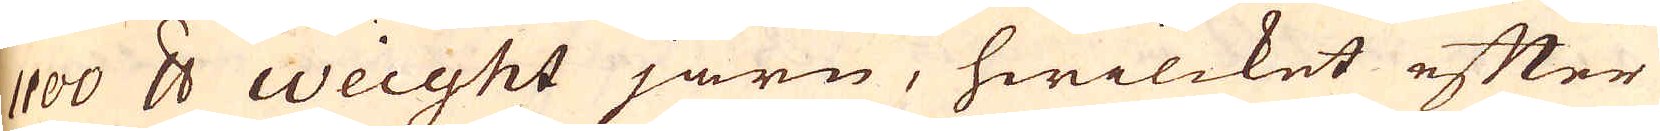100 skålpund Weight järn, hwilcket efter
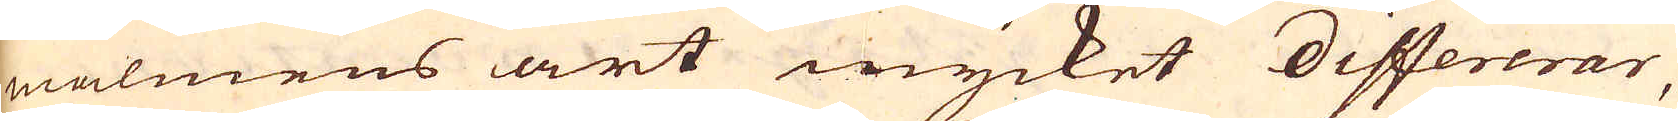malmens art mycket differerar,
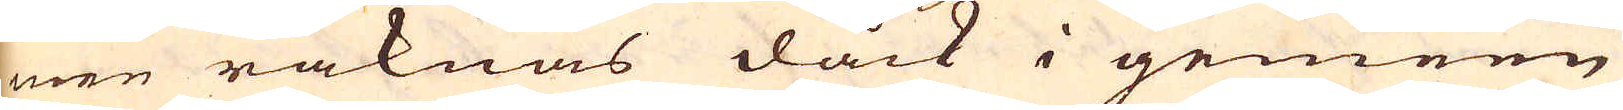men räknas dåck i gemeen
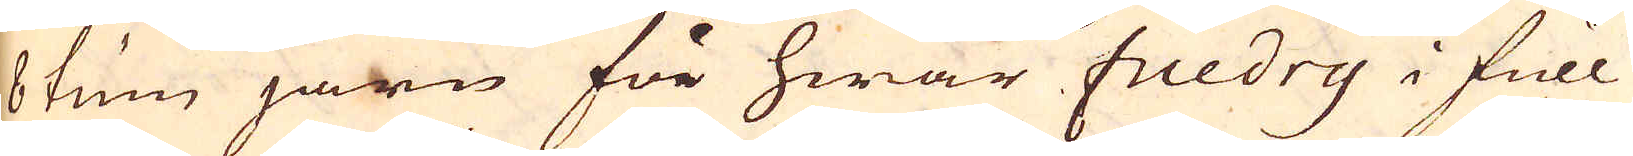8 tum järn för hwar fuedry i full
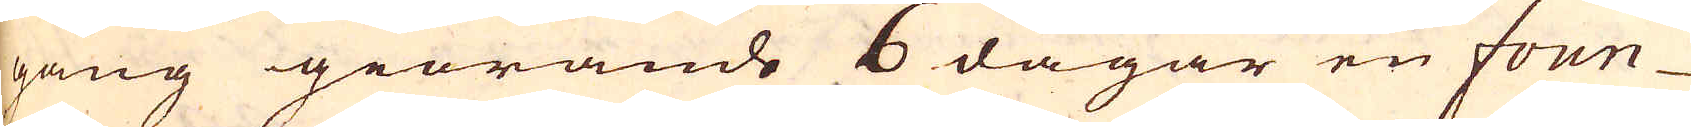gång giörande 6 dagar en fown-
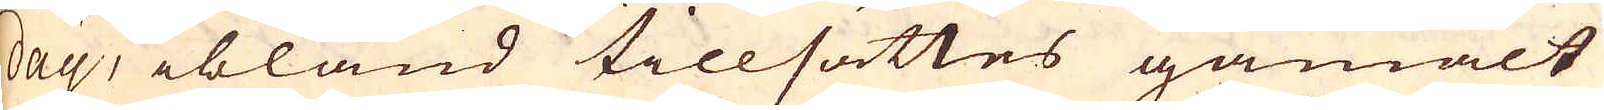day, ibland tillsättes gamalt
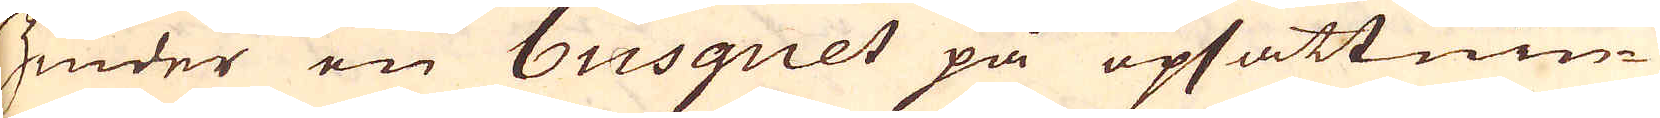zinder en busquet på upsättnin-
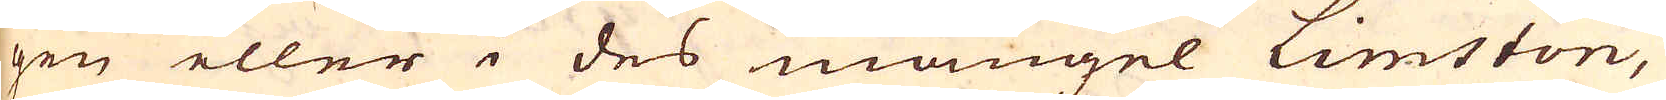gen eller i des mangel Limston,
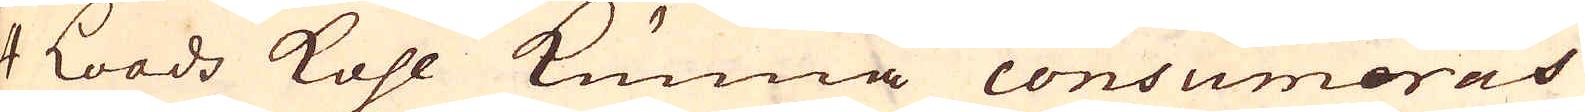4 Loads kohl kunna consumeras
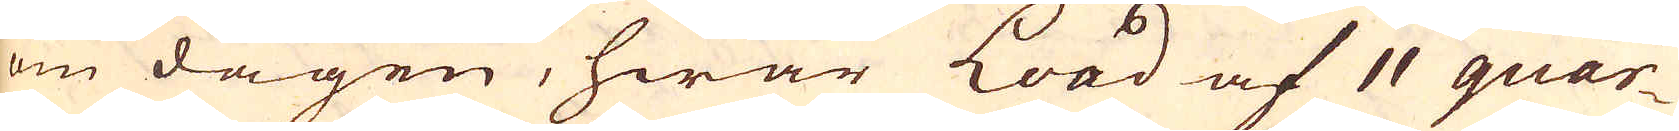om dagen, hwar Load af 11 quar-
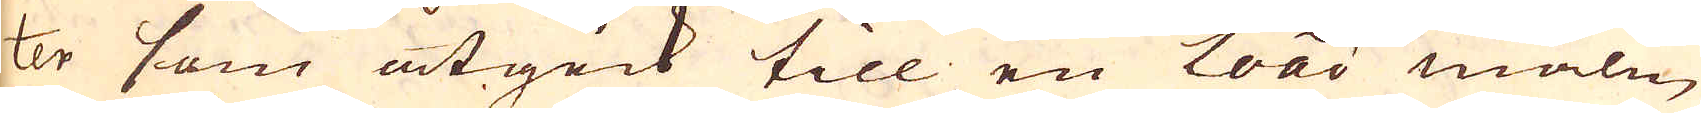ter som åtgick till en Load malm
